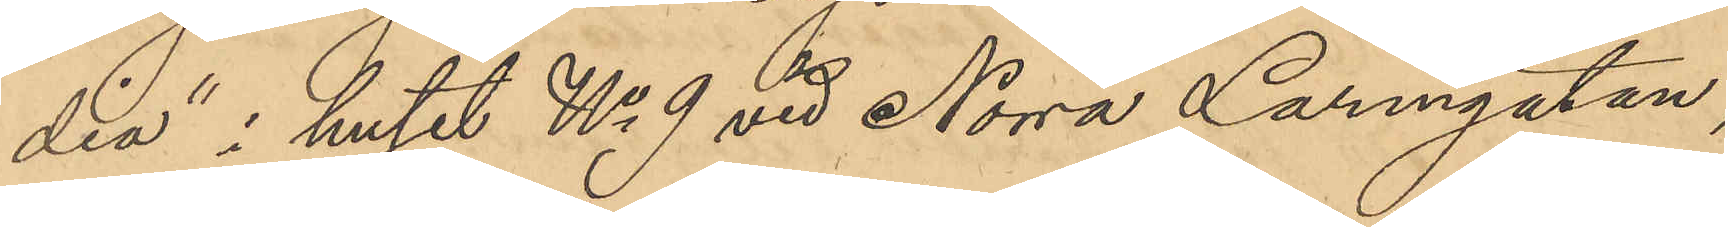dia" i huset No 9 vid Norra Larmgatan,
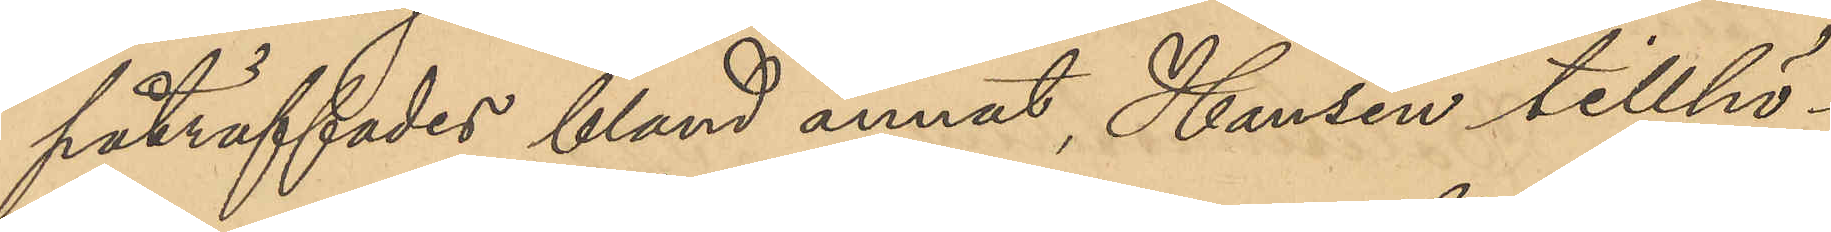påträffades bland annan Hansen tillhö¬
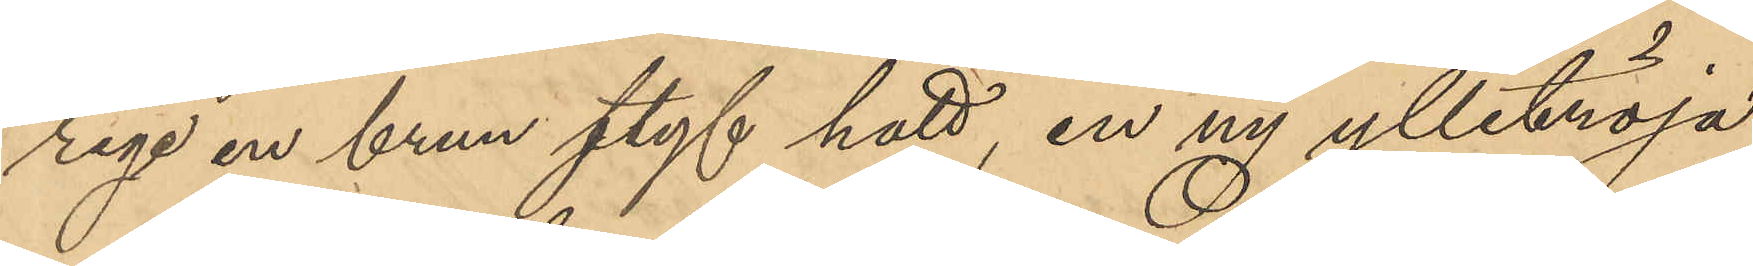rige en brun styf hatt, en ny ylletröja,
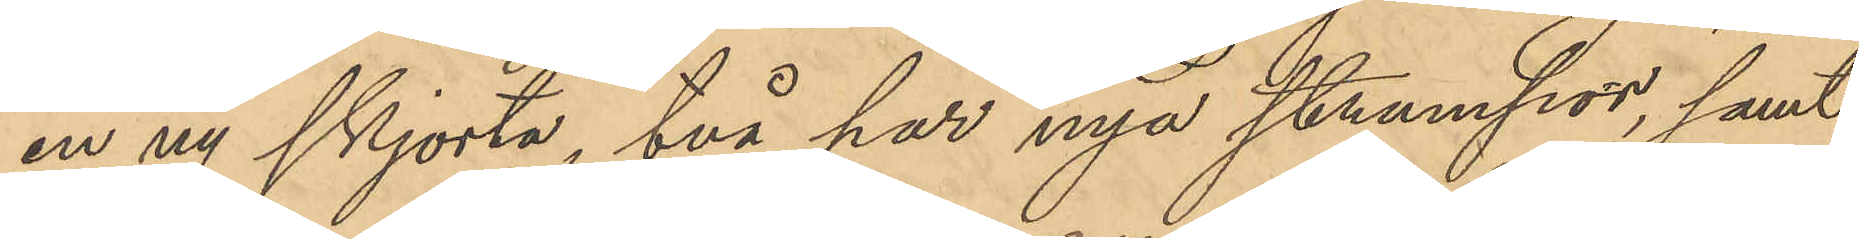en ny skjorta, två par nya strumpor, samt
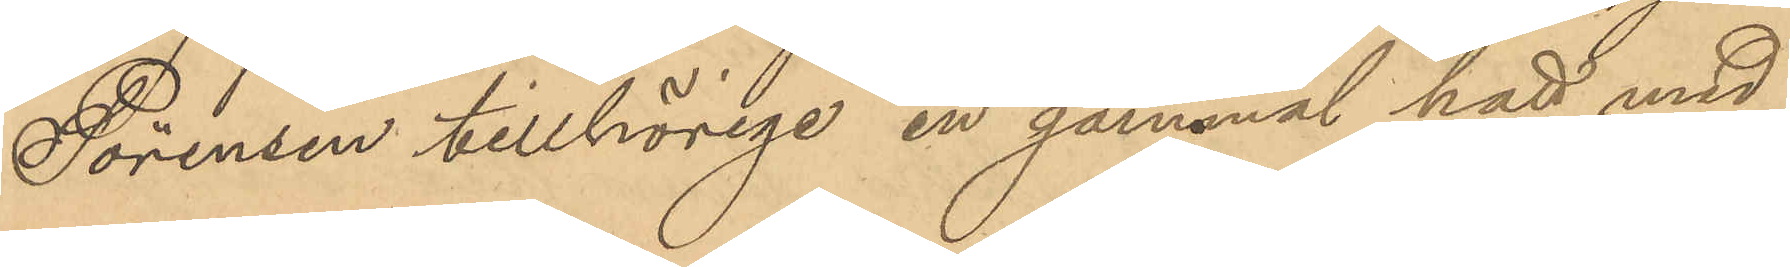Sörensen tillhörige en gammal hatt med
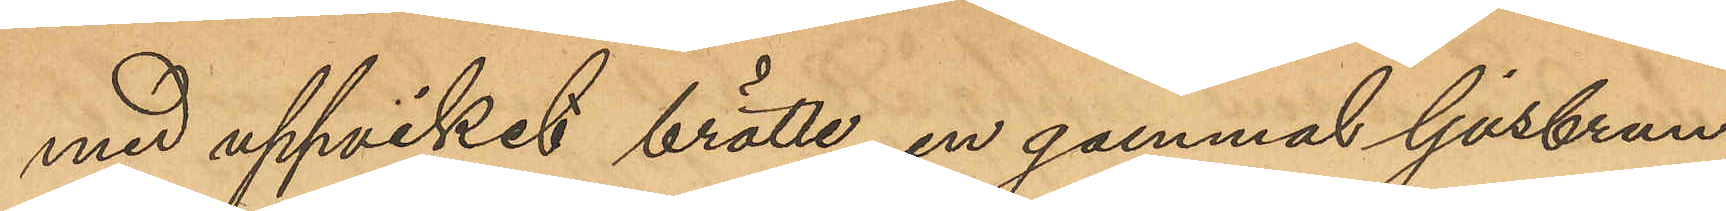med uppviket brätte, en gammal ljusbrun
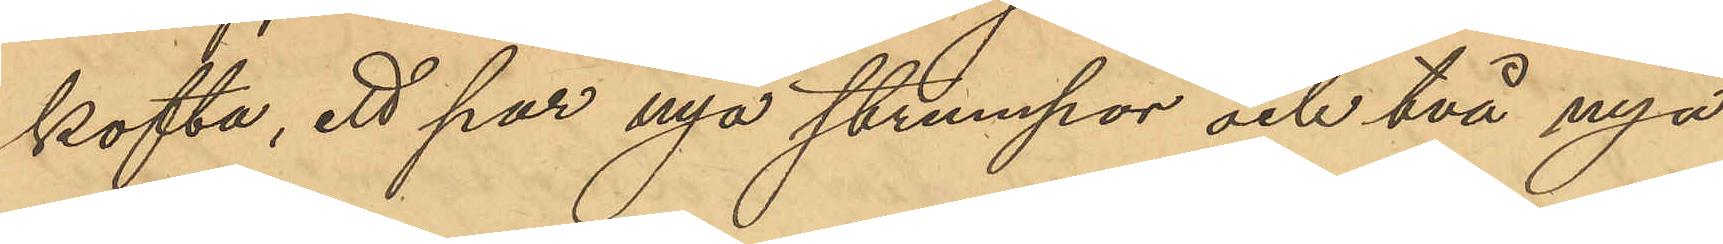kofta, ett par nya strumpor och två nya
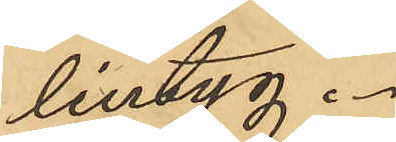lintyg.
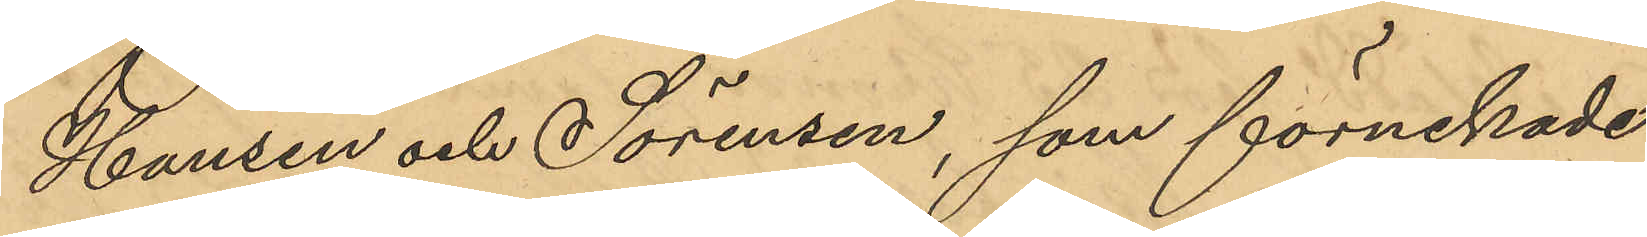Hansen och Sörensen, som förnekade
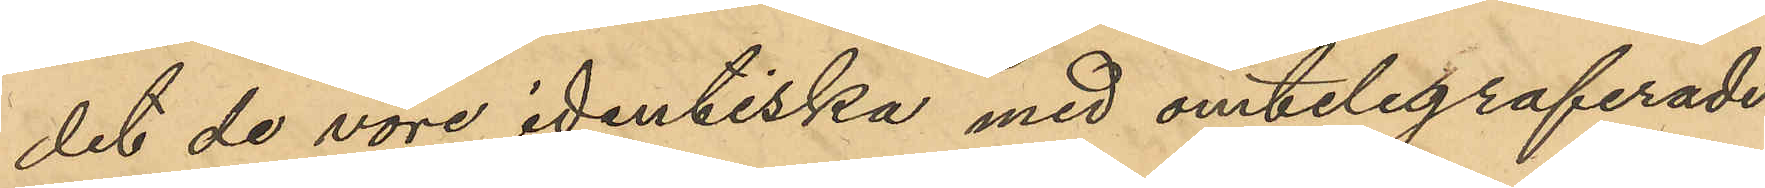det de vore identiska med omtelegraferade
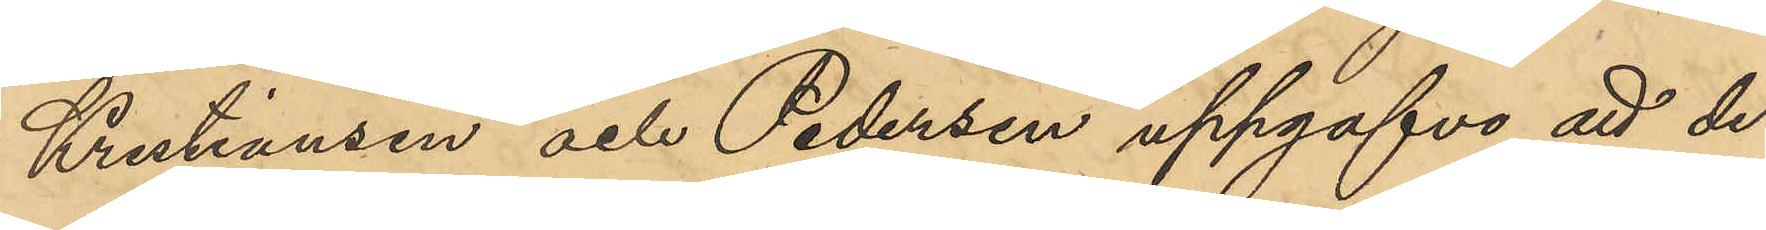Kristiansen och Pedersen uppgafvo att de
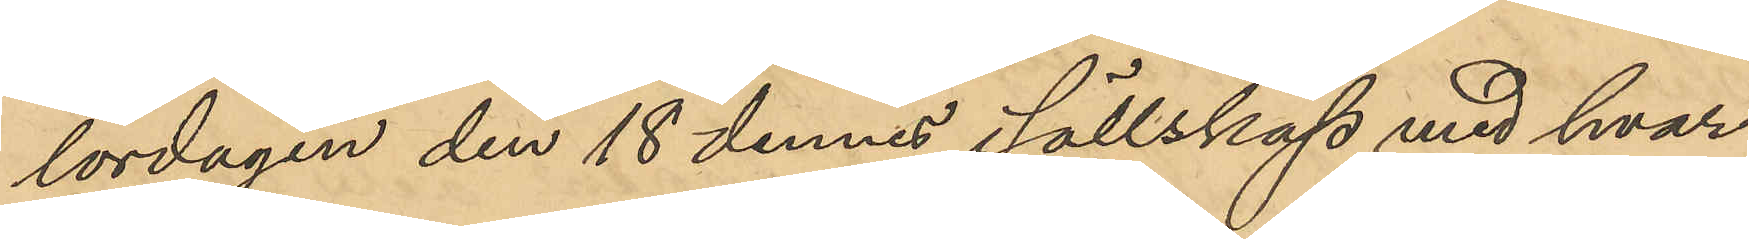lördagen den 18 dennes i sällskap med hvar¬
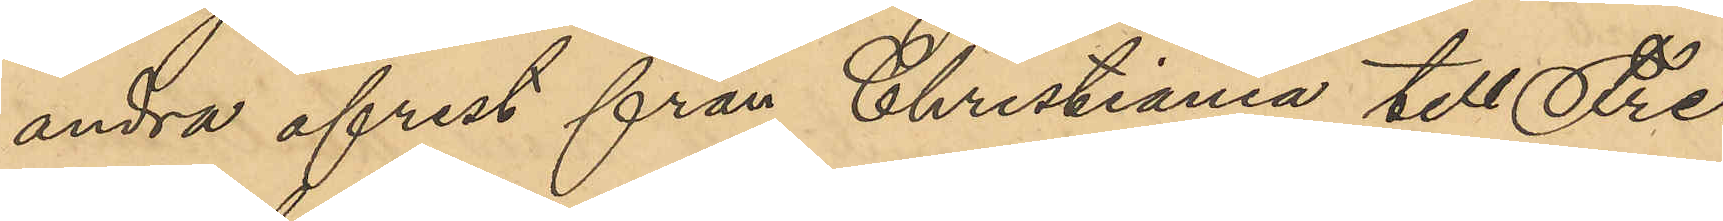andra afrest från Christiania till Fre¬
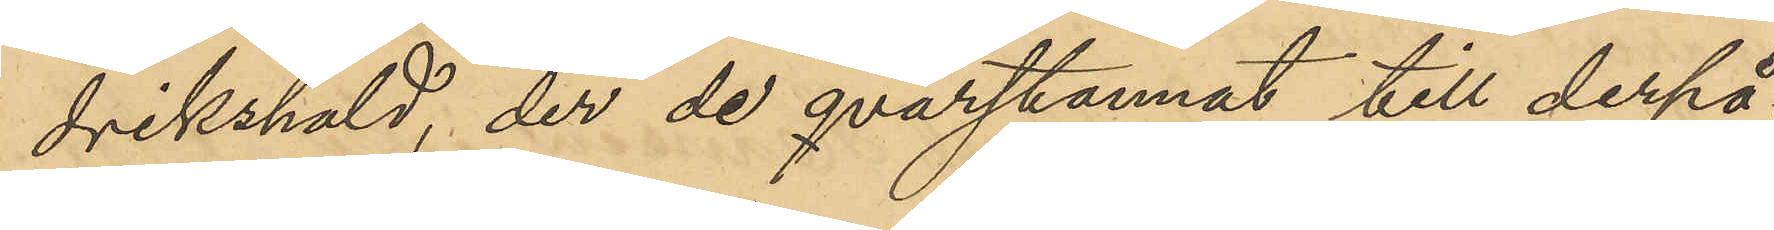drikshald, der de qvarstannat till derpå¬
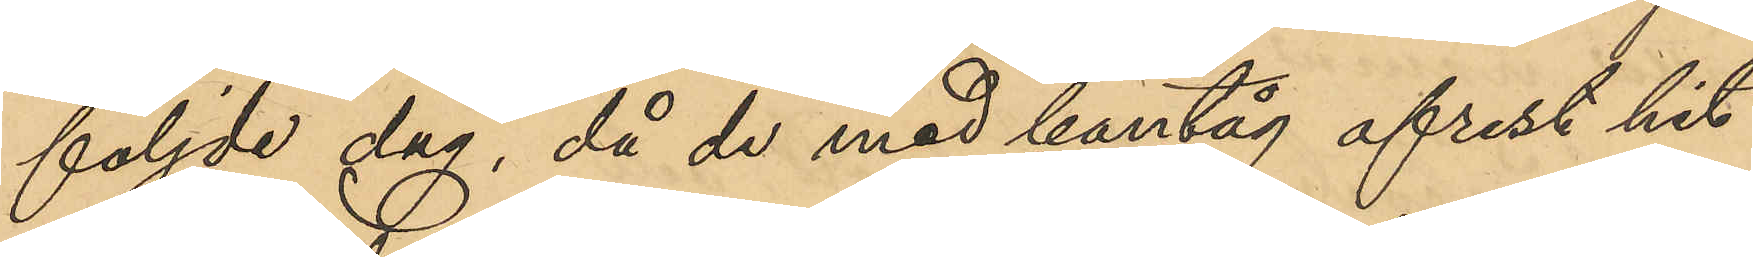följde dag, då de med bantåg afrest hit
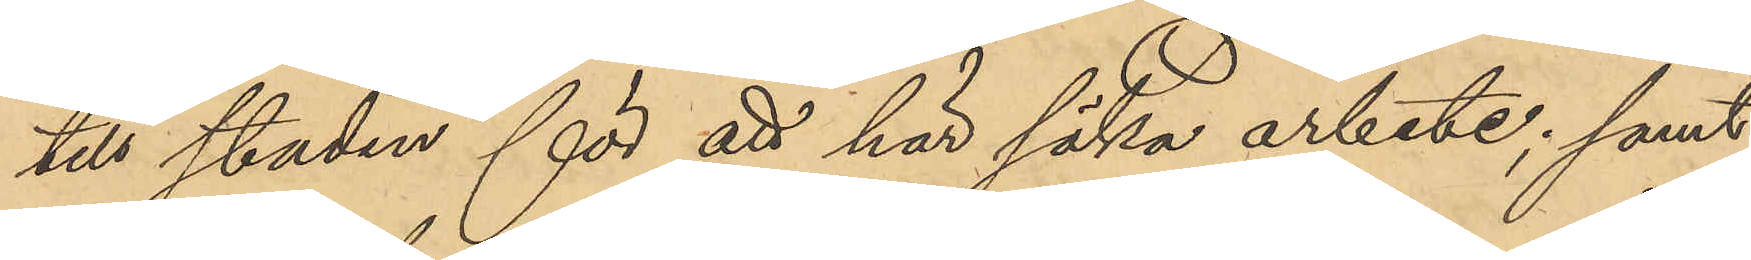till staden för att här söka arbete; samt
